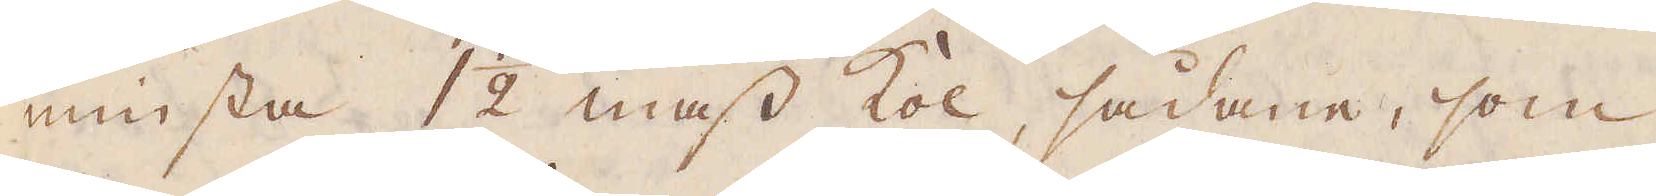minsta 1 1/2 mass kol, sådane, som
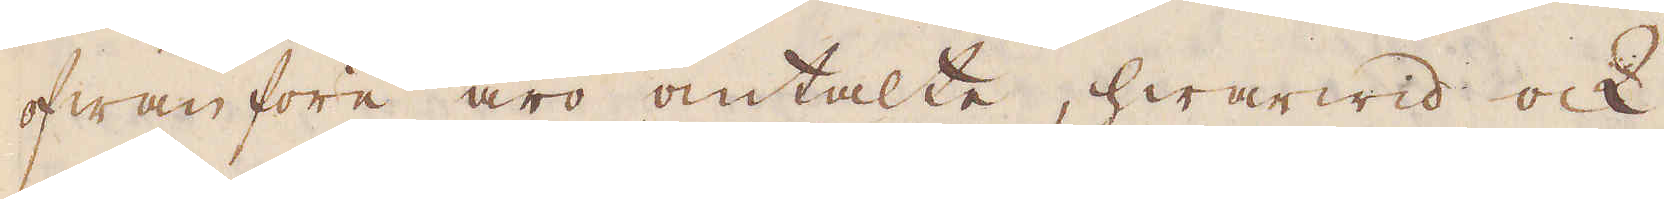ofwanföre äro omtalte, hwarwid ock
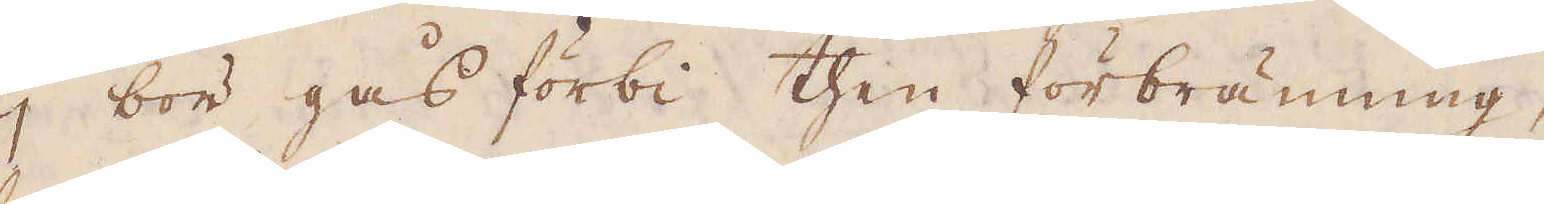ej bör gås förbi then förbränning,
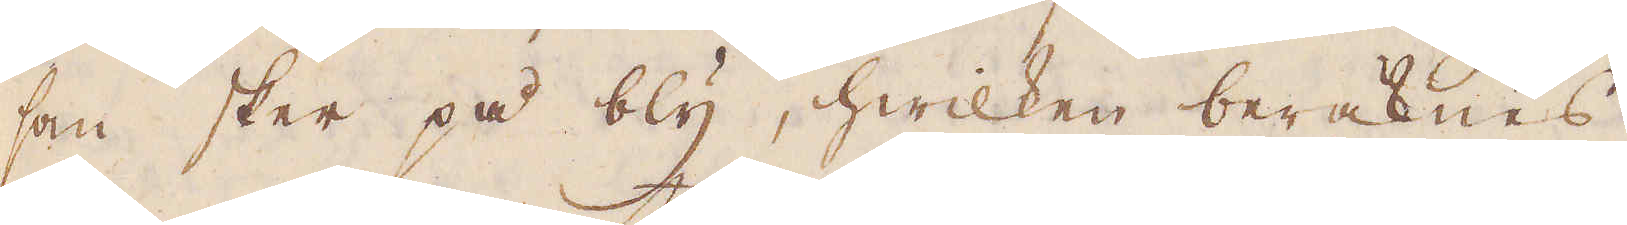som sker på bly, hwilken beräknas
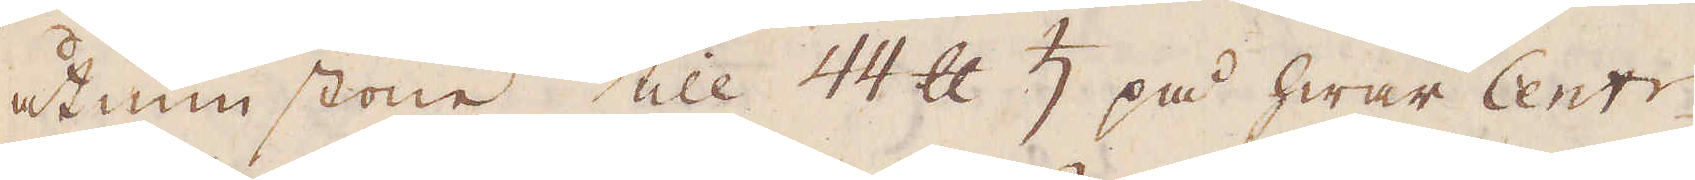åtminstone till 44 skålpund ♄ på hwar Centr
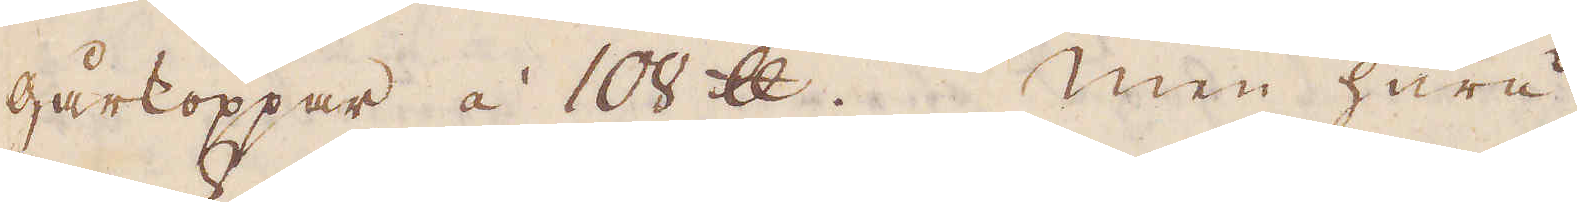gårkoppar á 100 skålpund. Men huru-
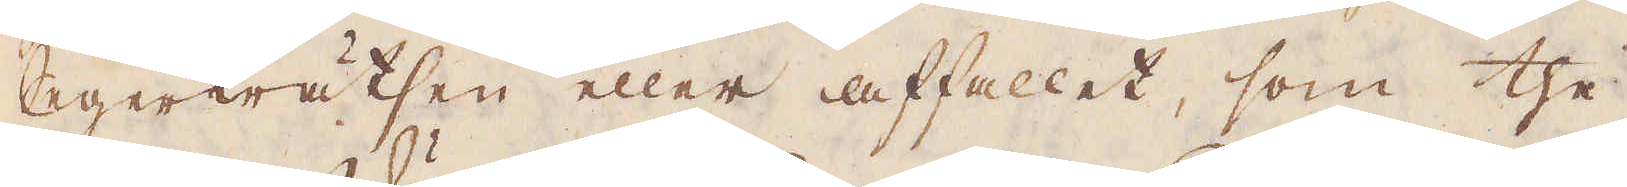egerkrätsen eller affallet, som the
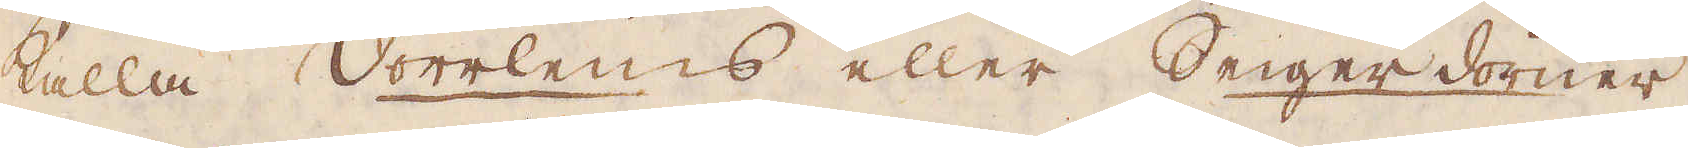kalla Vörrleins eller Seigerdörner,
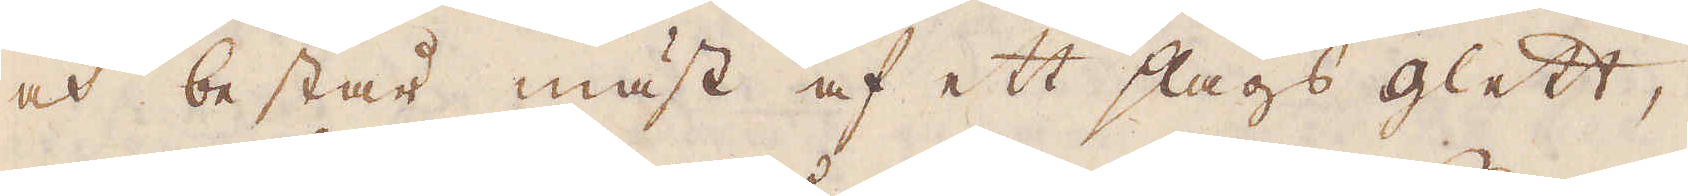och består mäst af ett slags glett,
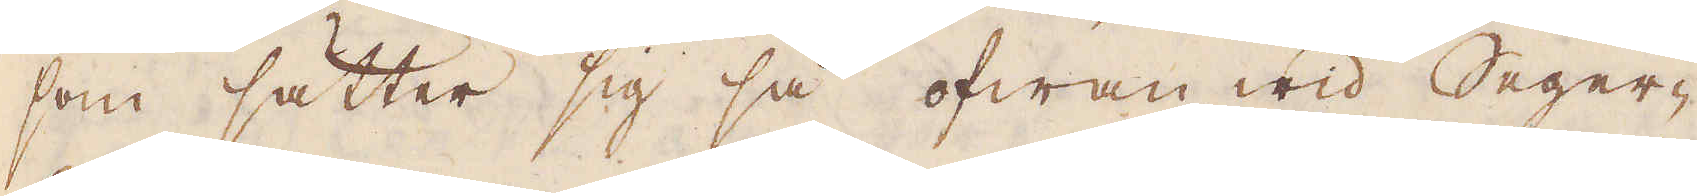som sätter sig så ofwan wid Seger-
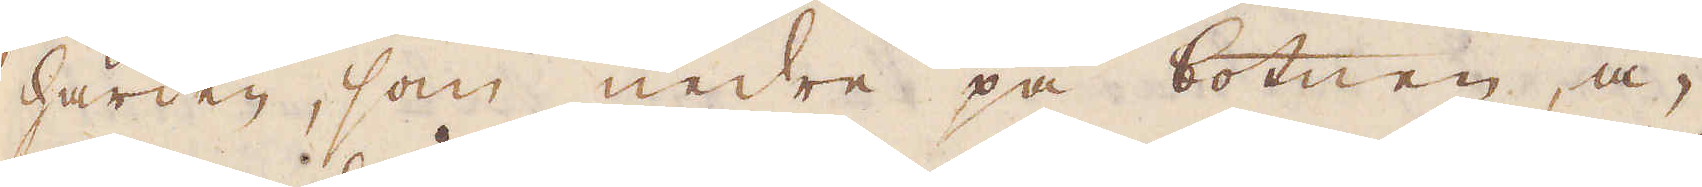härden, som nedre på botnen, å-
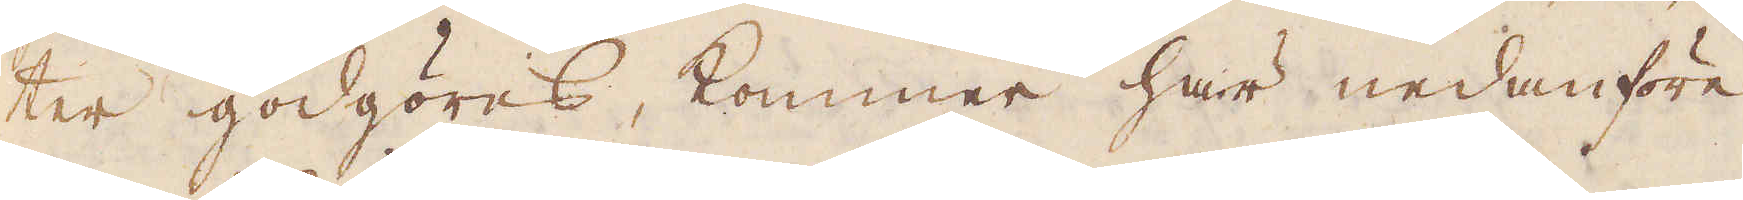ter godgöras, kommer här nedanföre,
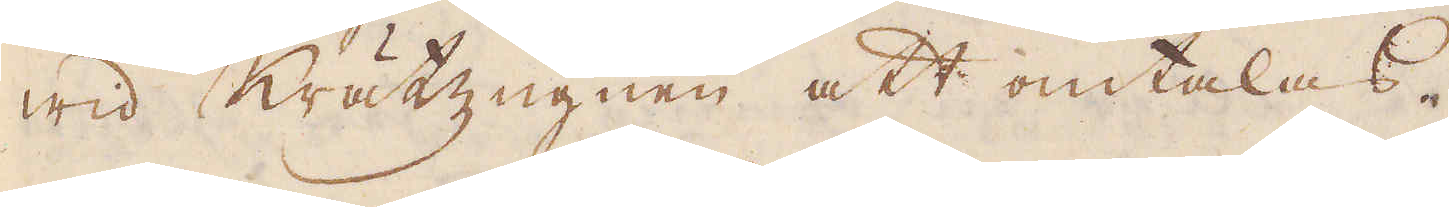wid Krätzugnen att omtalas.
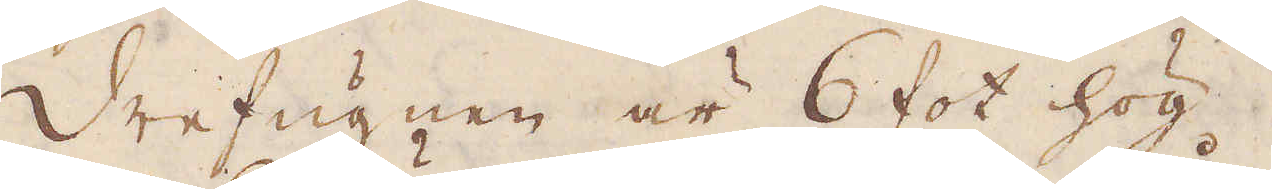Drefugnen är 6 fot hög.
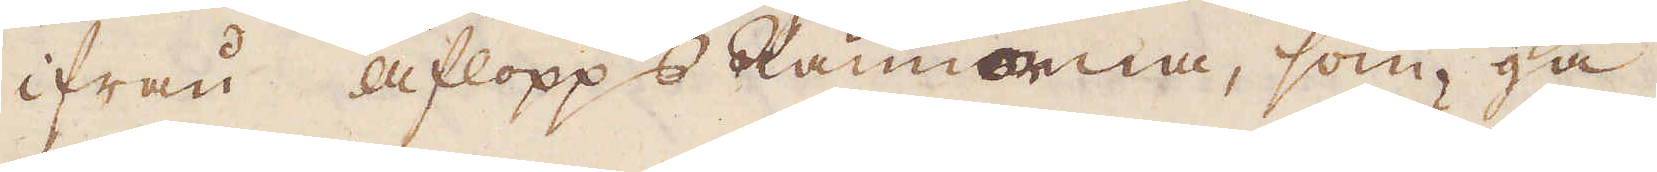ifrån aflopps Rännorna, som gå
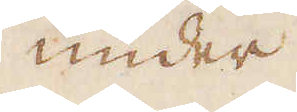under
